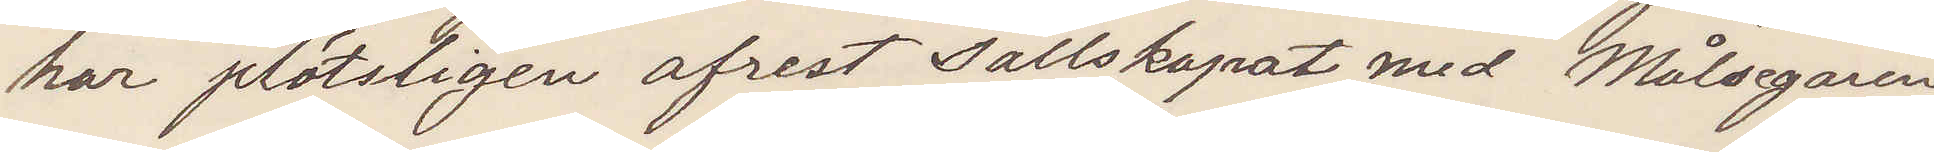har plötsligen afrest Sällskapat med Målsegaren
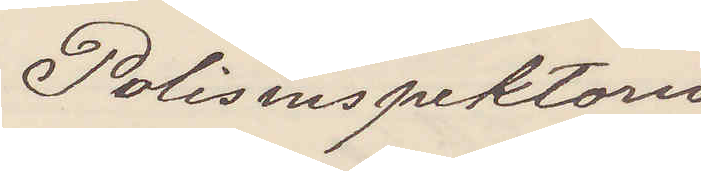Polisinspektorn
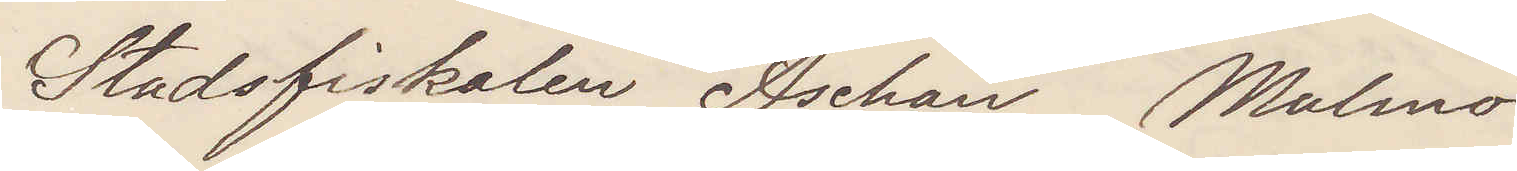Stadsfiskalen Aschan Malmö
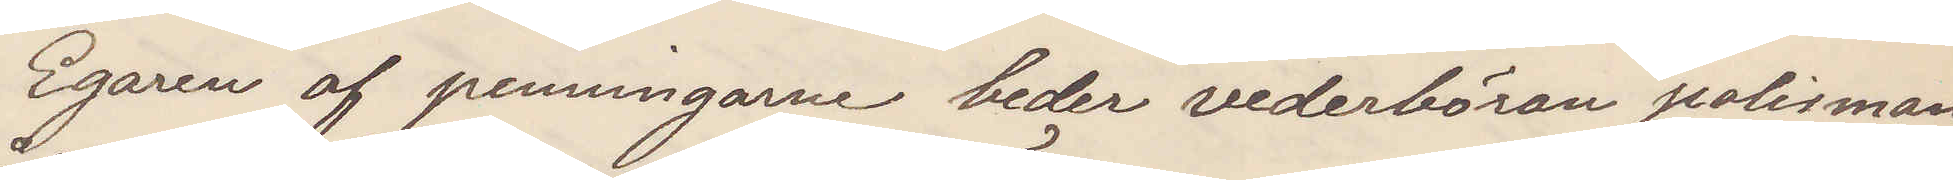Egaren af penningarne beder vederböran polisman
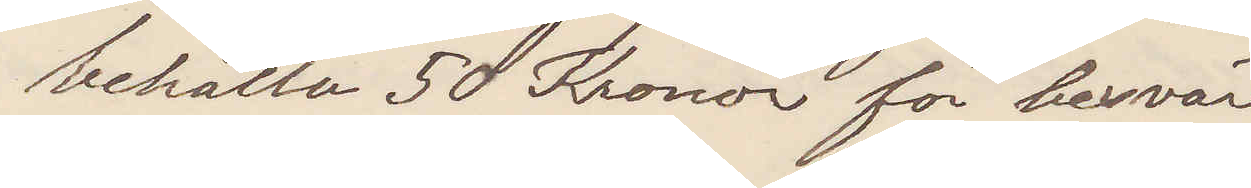behålla 50 Kronor för besvär
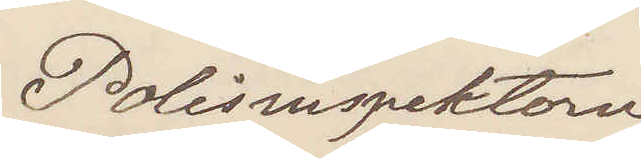Polisinspektorn
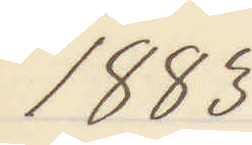1883
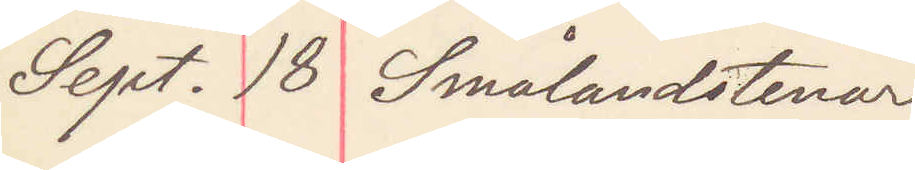Sept. 18 Smålandstenar
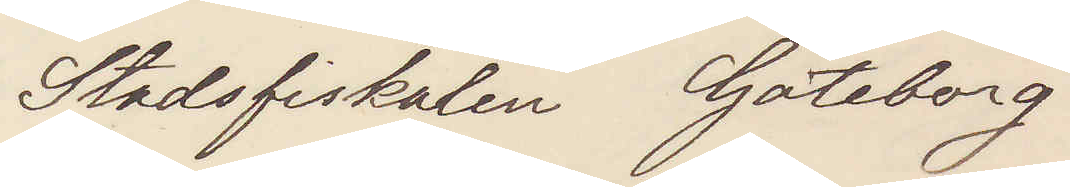Stadsfiskalen Göteborg
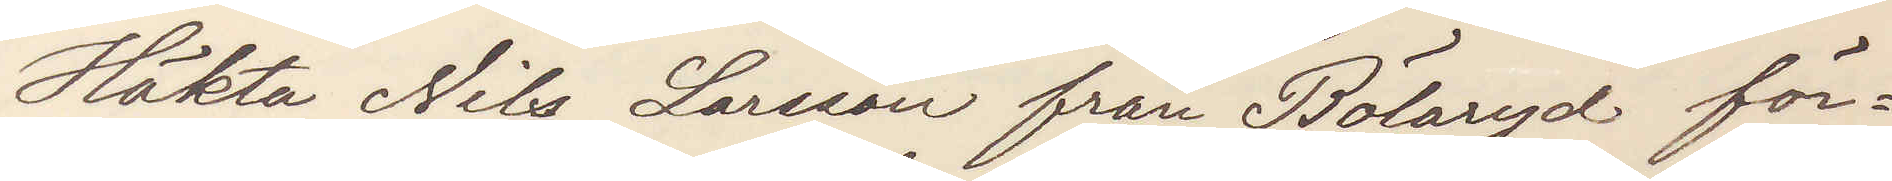Häkta Nils Larsson från Bölaryd för¬
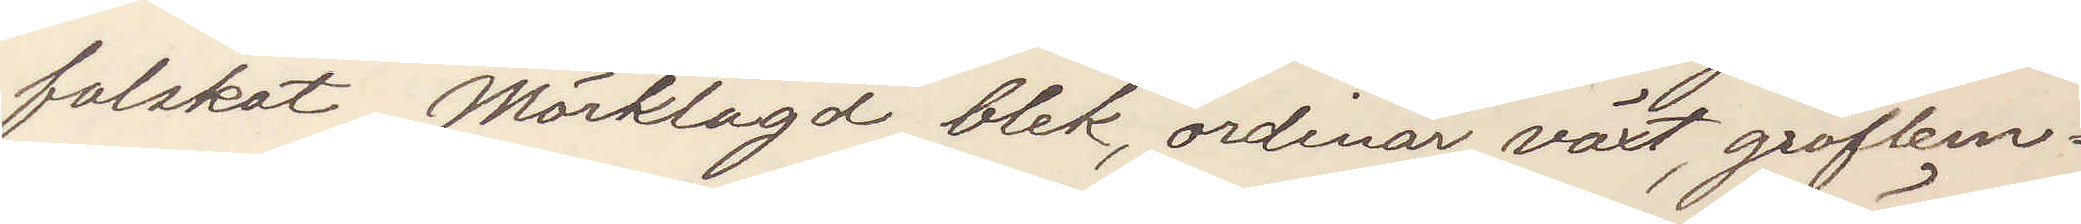falskat, Mörklagd, blek, ordinär växt, groflem¬
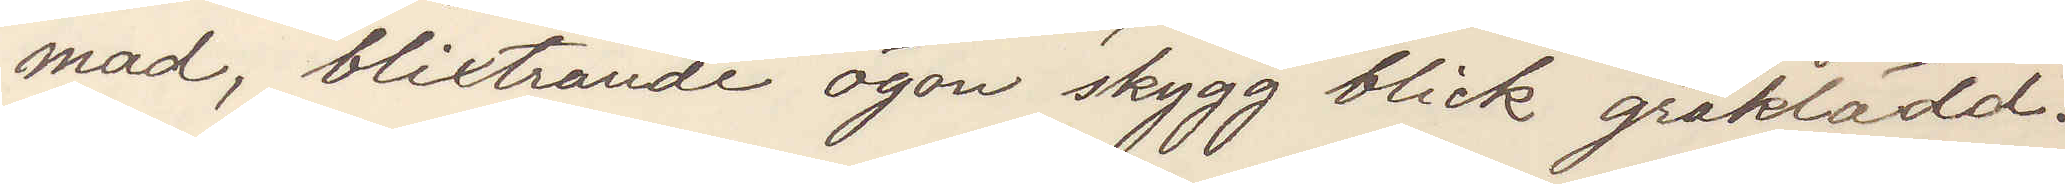mad, blixtrande ögon skygg blick gråklädd.
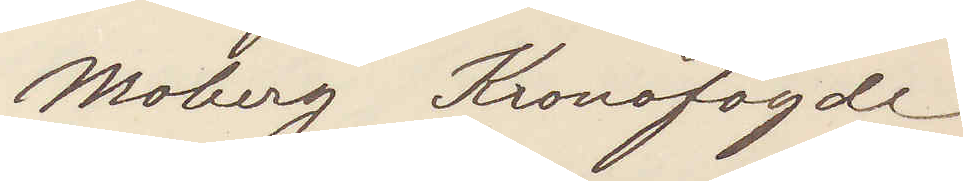Moberg Kronofogde
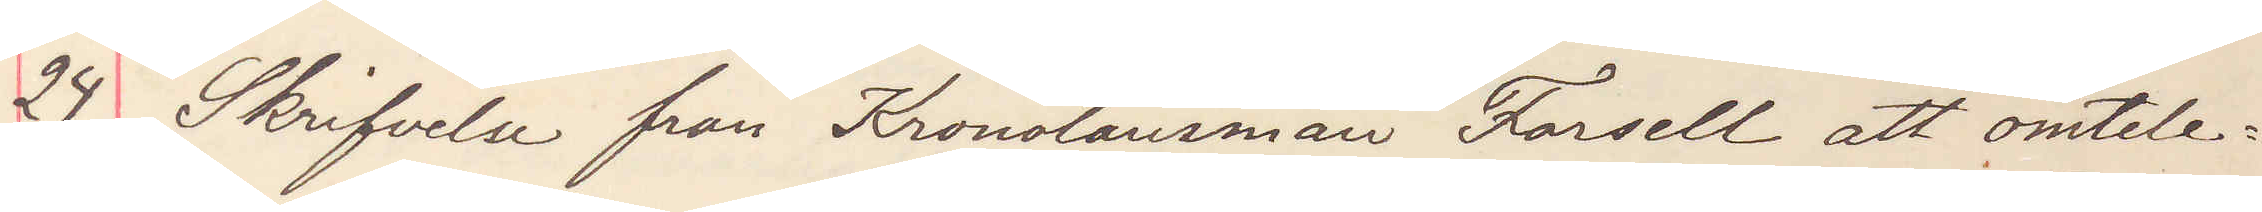24 Skrifvelsen från Kronolänsman Forsell att omtele¬
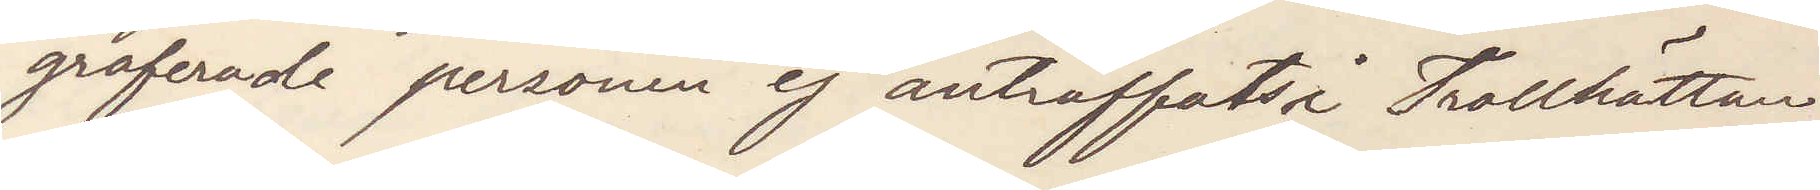graferade person ej anträffats i Trollhättan
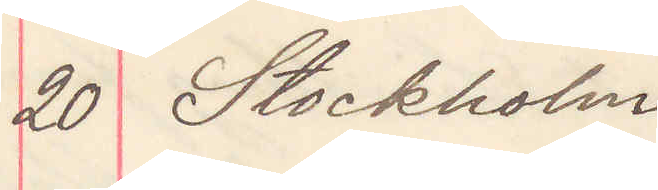20 Stockholm
